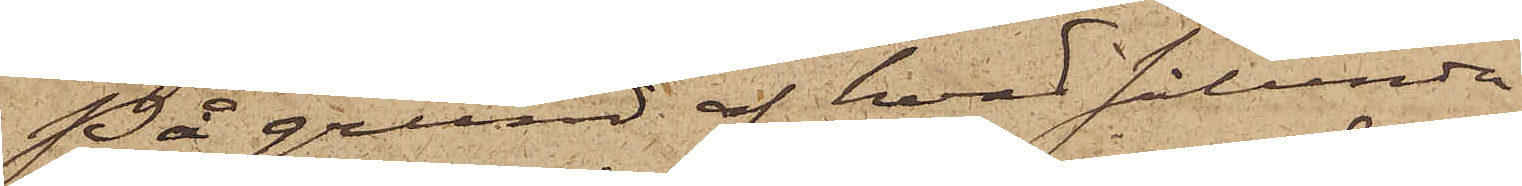På grund af hvad sålunda
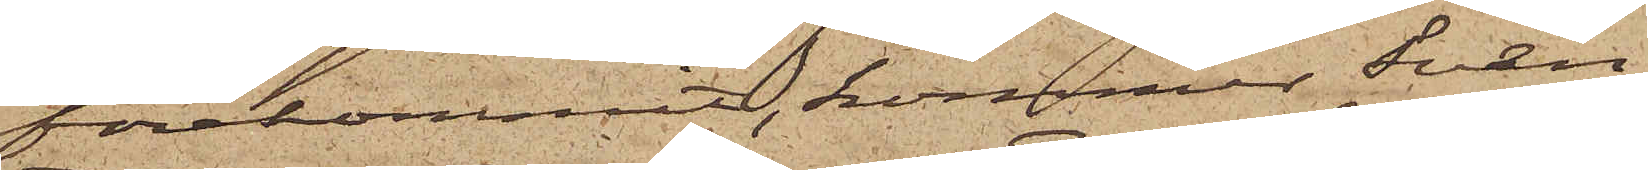förekommit, kommer Sven
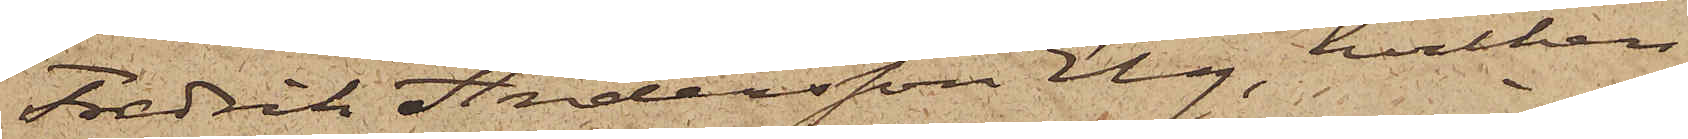Fredrik Andersson Elg, hvilken
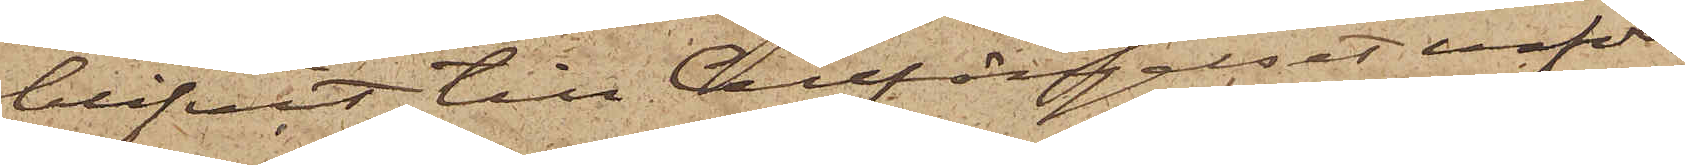blifvit till Cellfängelset inför¬
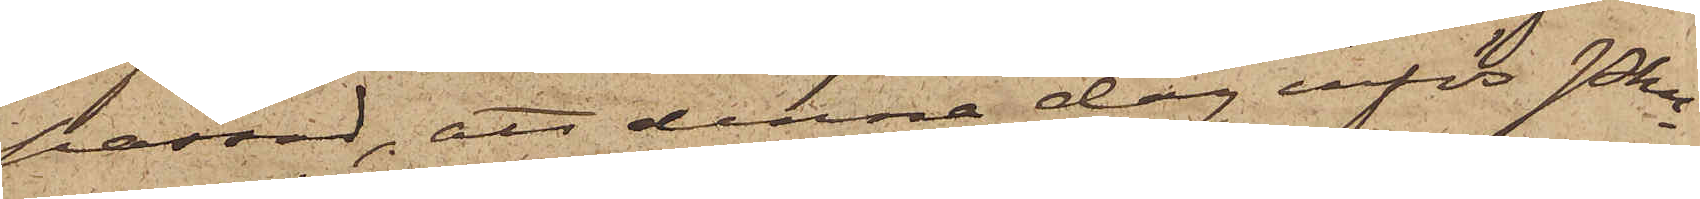passad, att denna dag inför Pkn
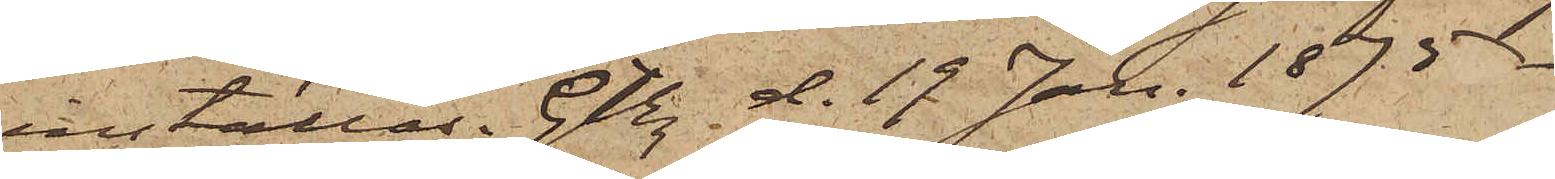inställas. Gbg d. 19 Jan. 1875.
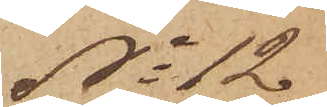No 12
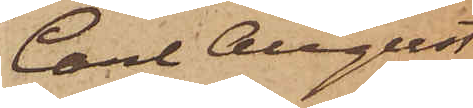Carl August
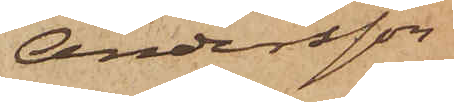Andersson
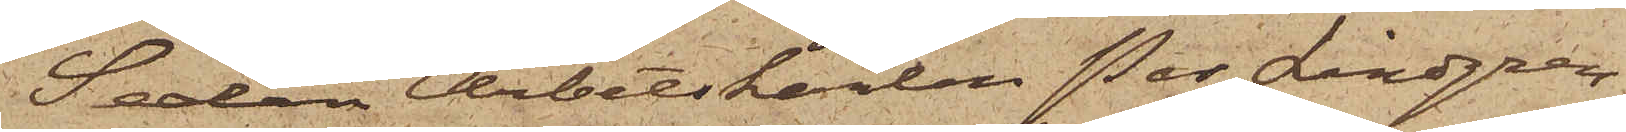Sedan Arbetskarlen Per Lindgren,
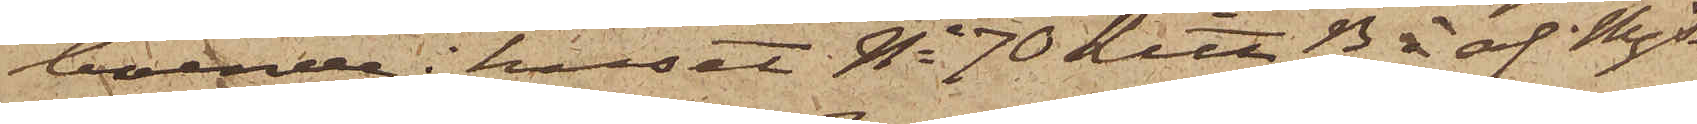boende i huset No 70 Litt 13 i af Mjs
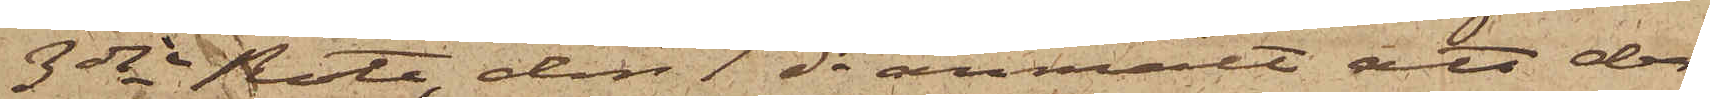3dje Rote, den 1 ds anmält att den
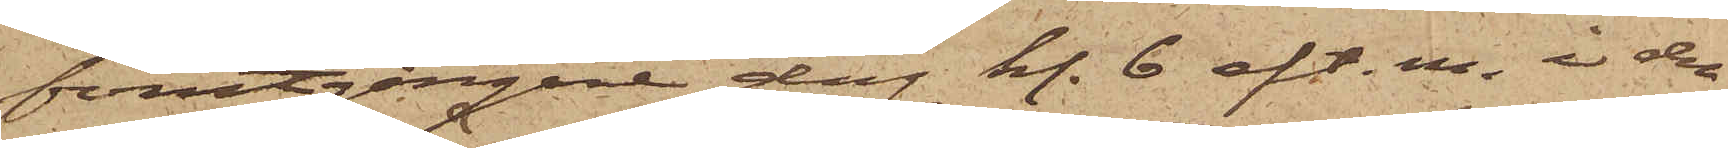förutgångne dag kl. 6 eft. m. i den
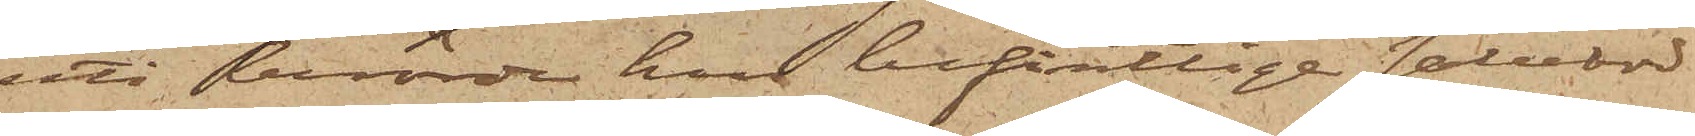uti berörde hus befintlige salubod
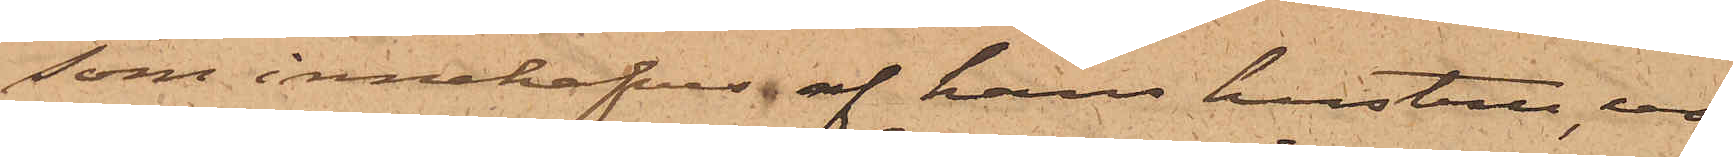som innehafves af hans hustru, ur
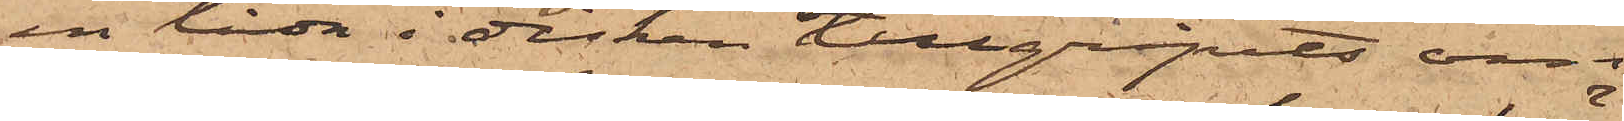en låda i disken tillgripits om¬
